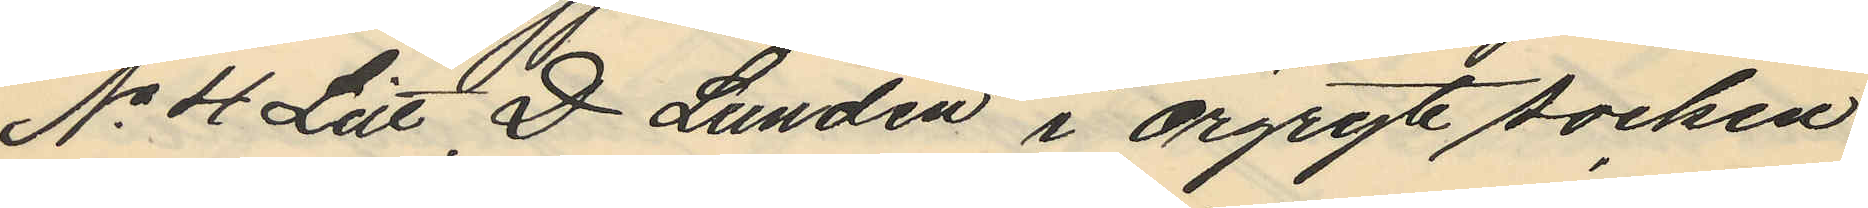No 4 Litt D Lunden i Örgryte socken
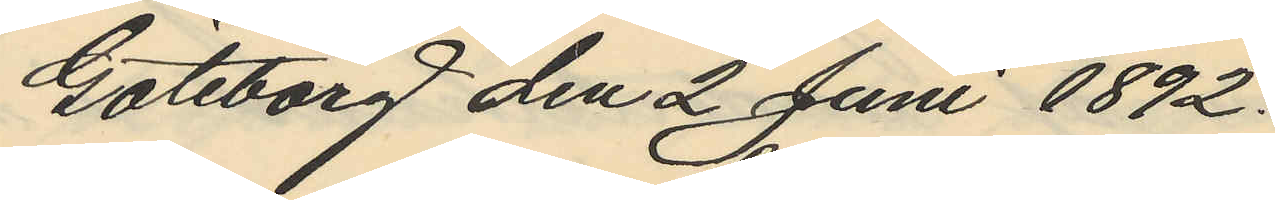Göteborg den 2 Juni 1892.
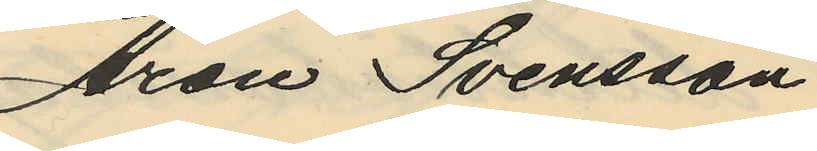Aron Svensson
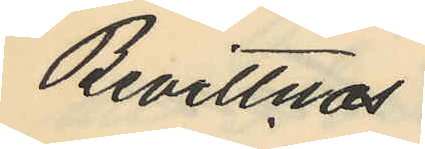Bevittnas
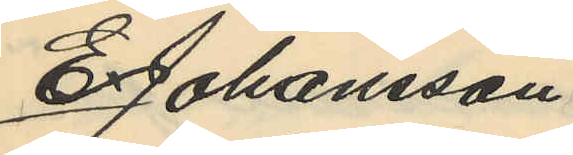E. Johansson
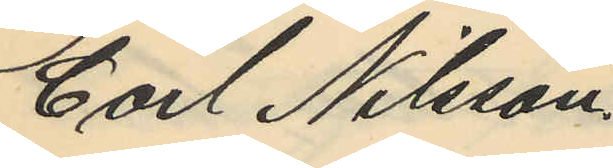Carl Nilsson.
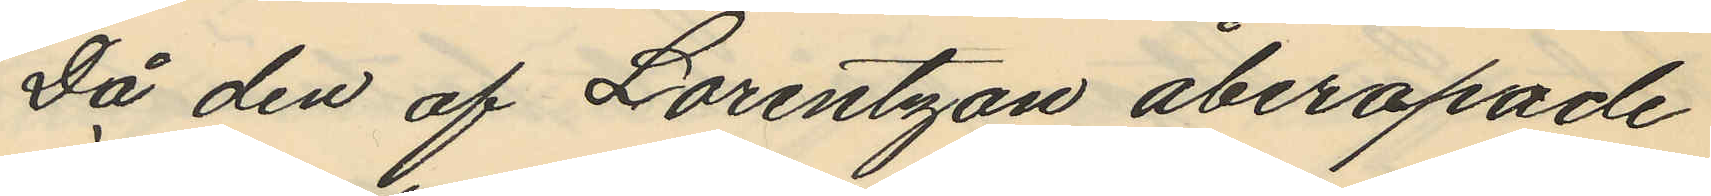Då den af Lorentzon åberopade
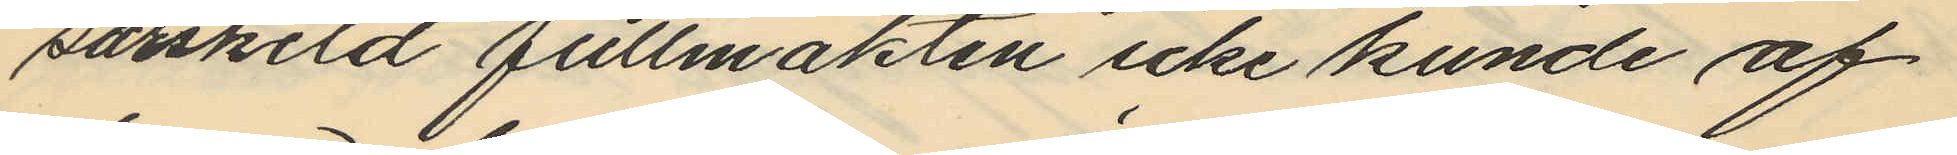särskild fullmakten icke kunde af
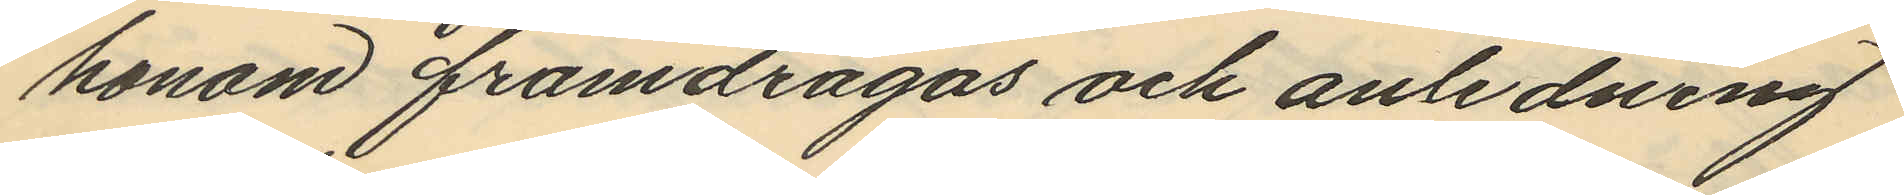honom framdragas och anledning
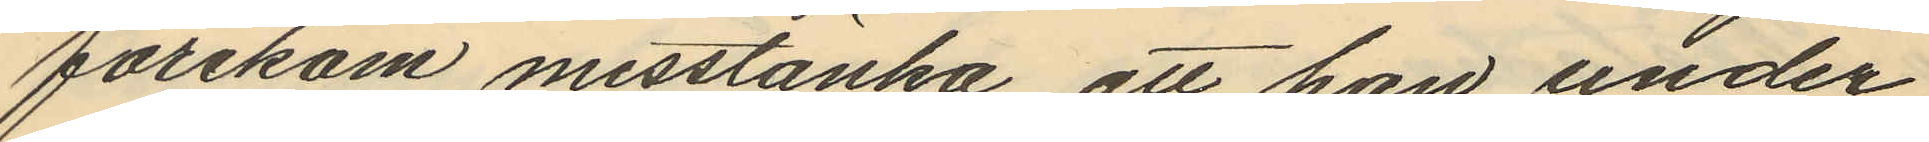förekom misstänka att han under
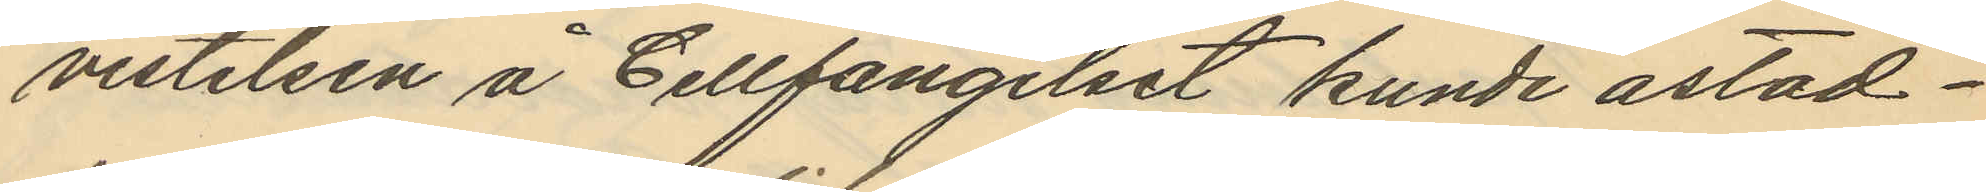vistelsen å Cellfängelset kunde åstad¬
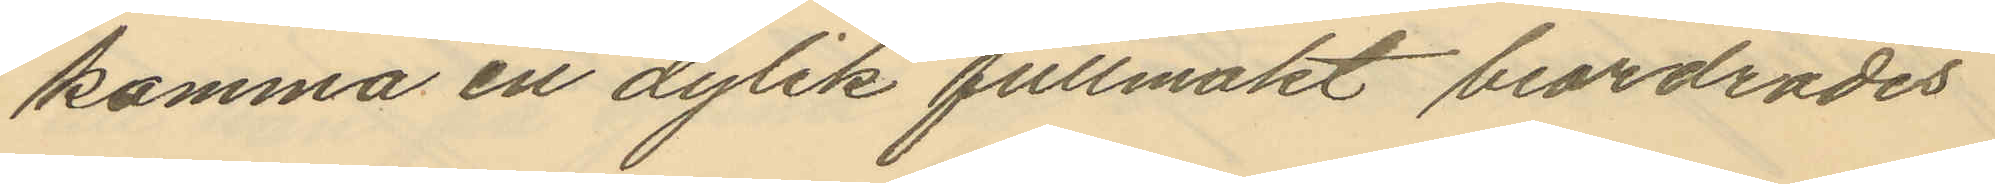komma en dylik fullmakt beordrades
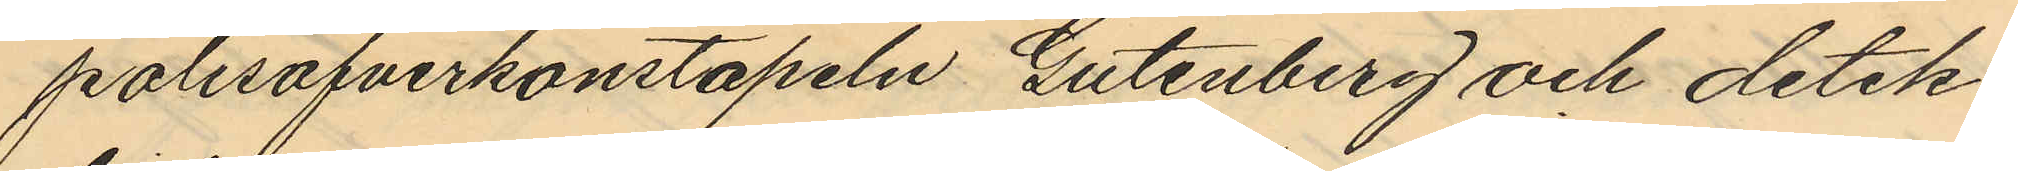polisöfverkonstapeln Gutenberg och detek¬
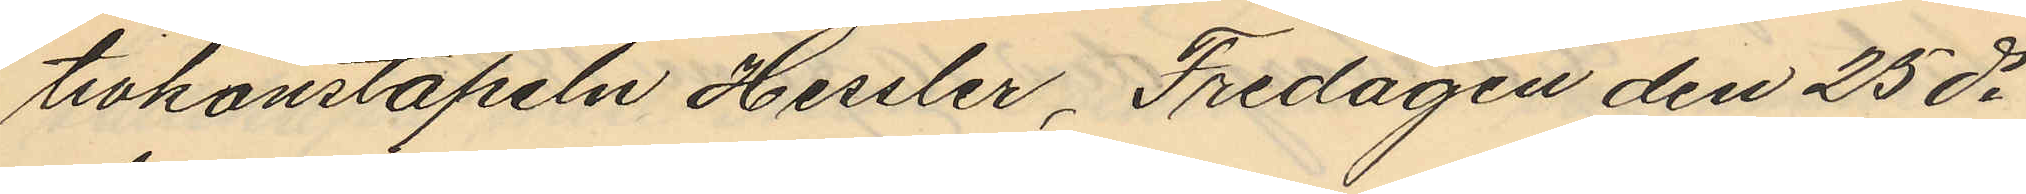tivkonstapeln Hessler, Fredagen den 25 ds
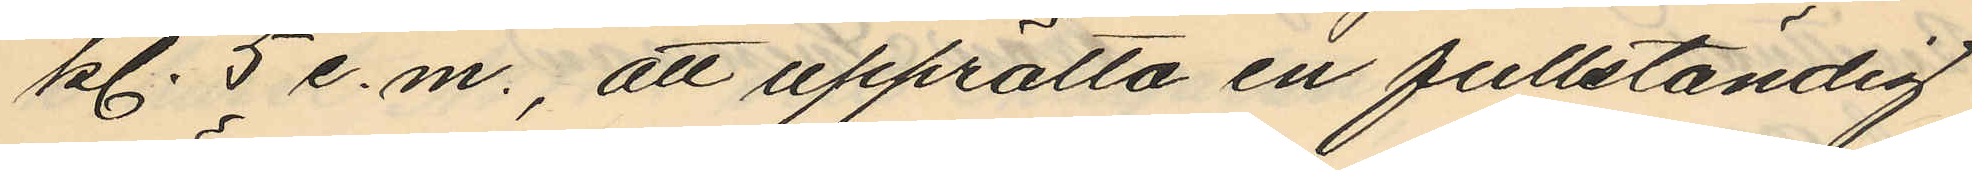kl. 5 e.m., att upprätta en fullständig
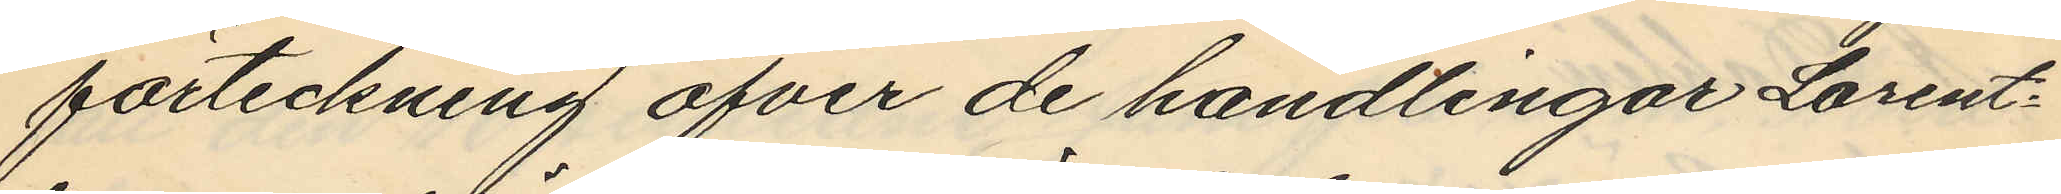förteckning öfver de handlingar Lorent¬
